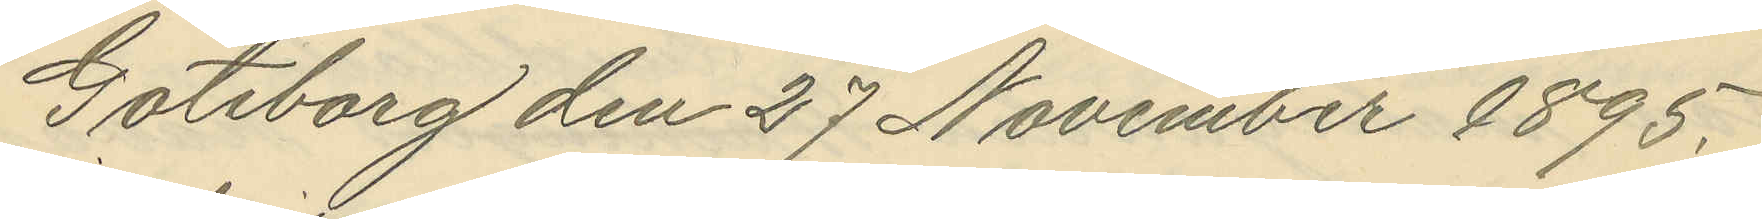Göteborg den 27 November 1895.
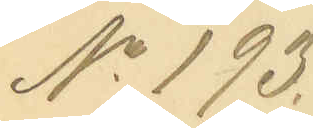No 193.
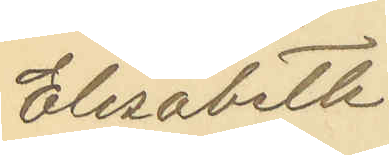Elisabeth
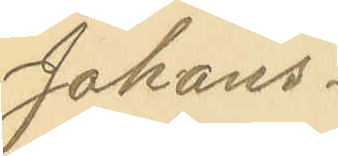Johans¬
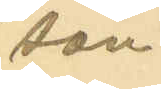son
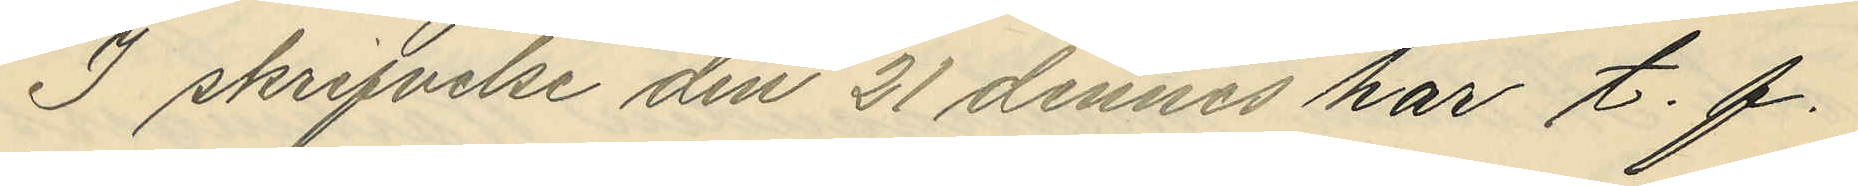I skrifvelse den 27 dennes har t. f.
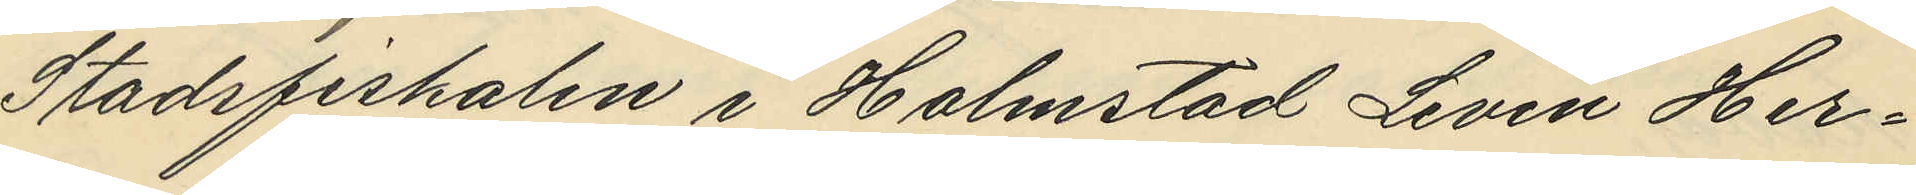Stadsfiskalen i Halmstad Levin Her¬
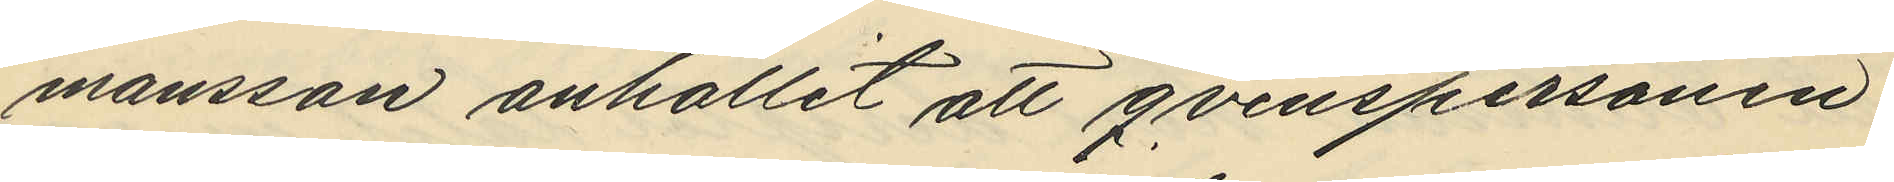mansson anhållit att qvinspersonen
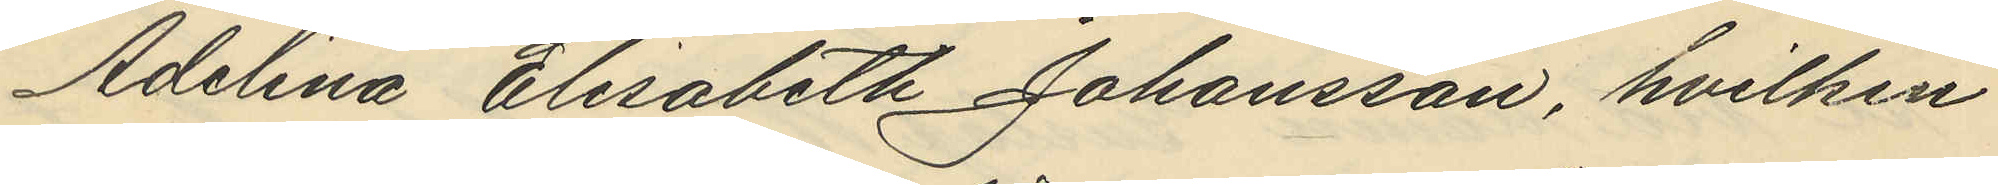Adelina Elisabeth Johansson, hvilken
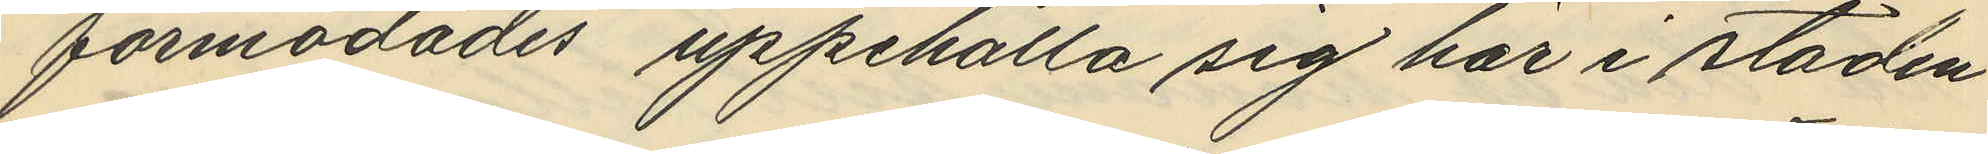förmodades uppehålla sig här i staden
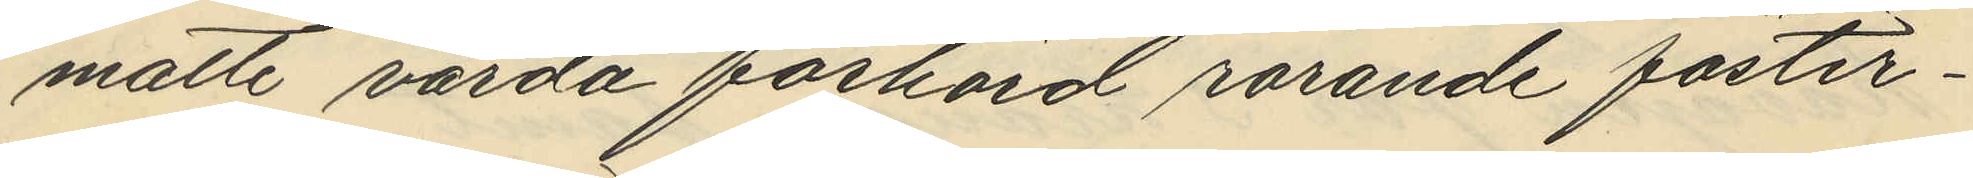måtte varda förhörd rörande foster¬
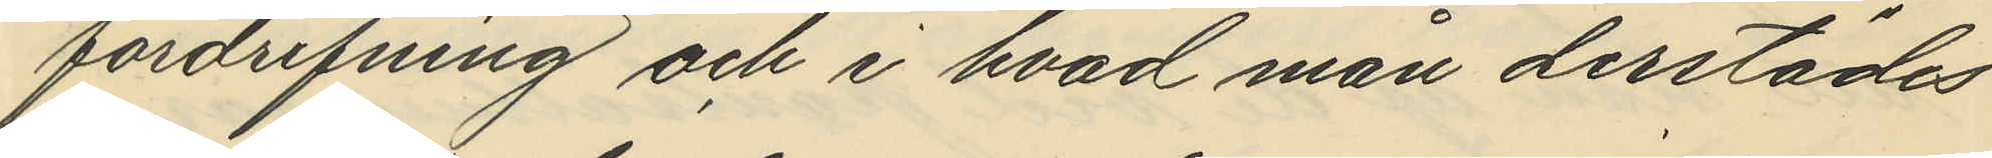fördrifning och i hvad man derstädes
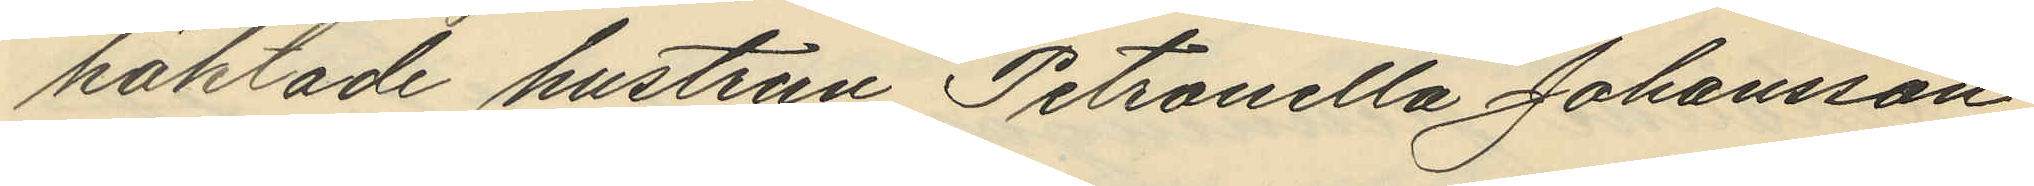häktade hustrun Petronella Johansson
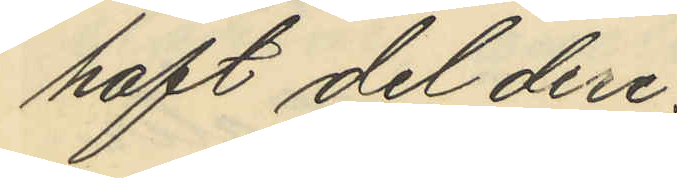haft del deri.
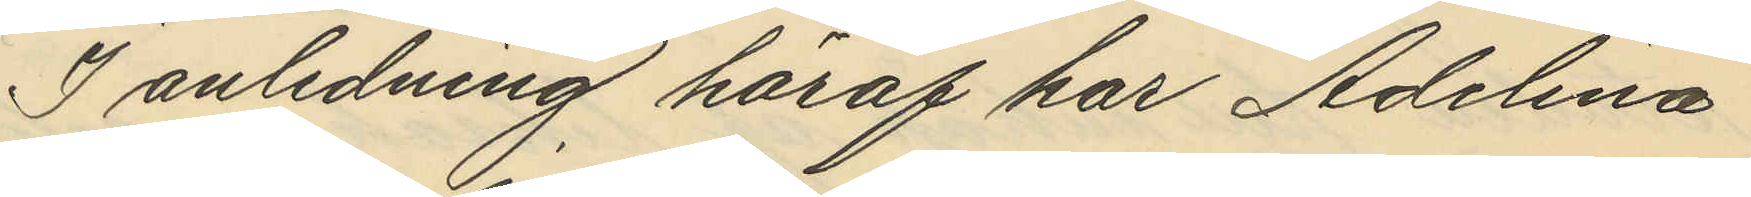I anledning häraf har Adelina
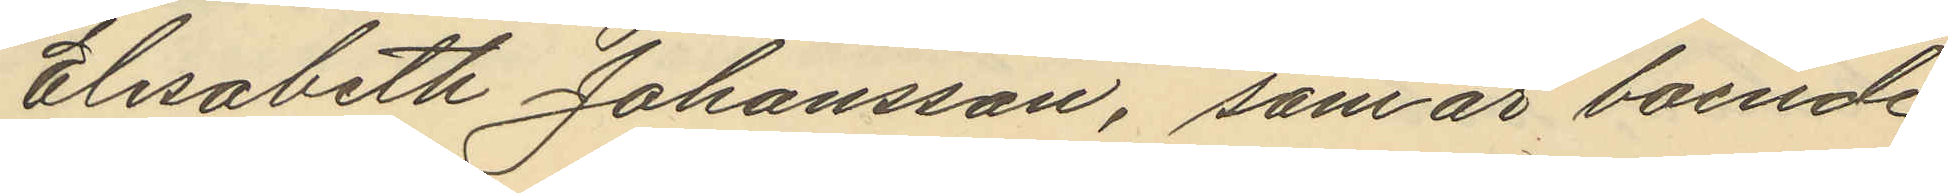Elisabeth Johansson, som är boende
